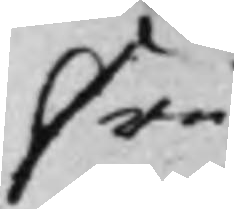Fru
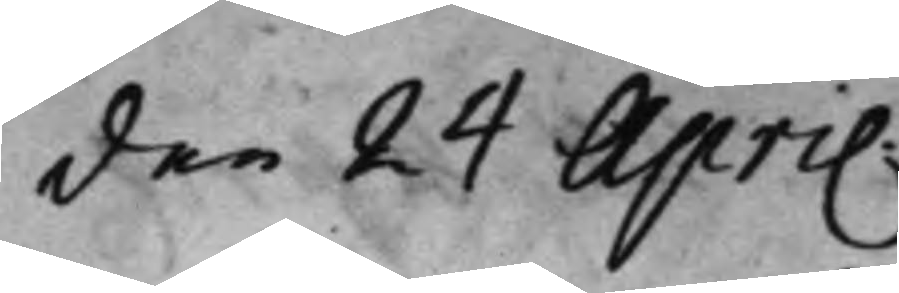den 24 April.
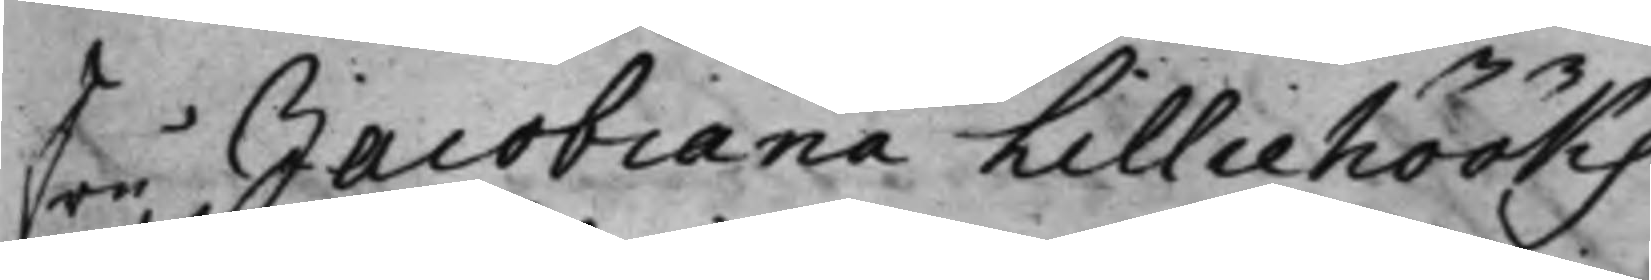Fru, Jacobiana Lilliehööks
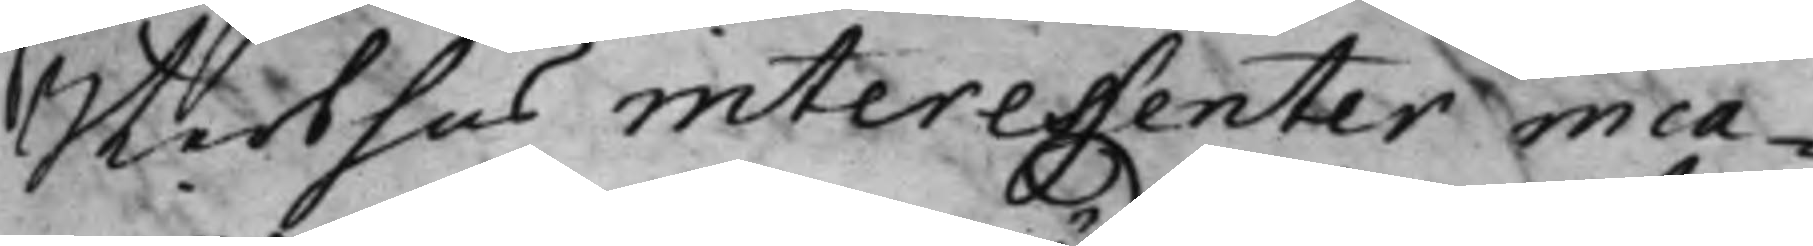Sterbhus interessenter inca¬
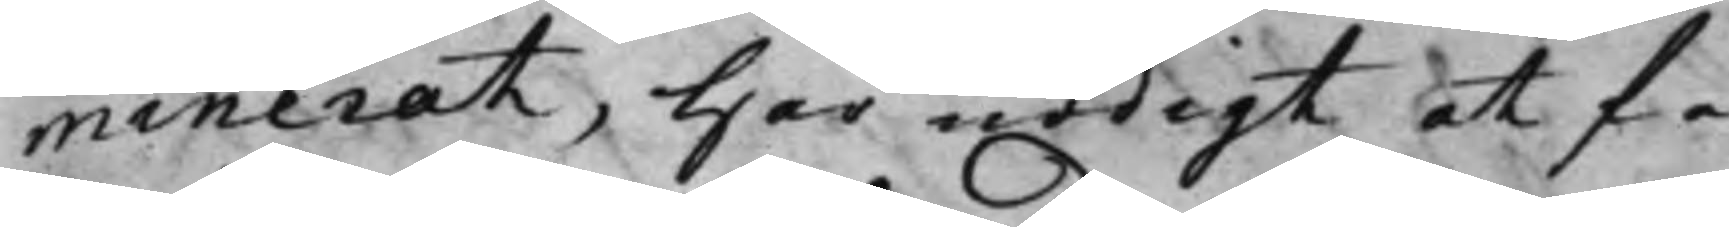minerat, Har nödigt at få
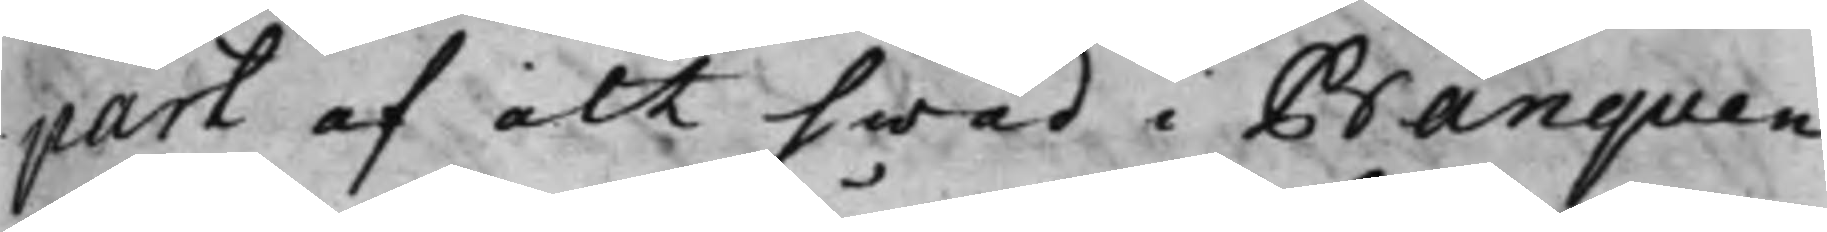part af alt hwad i Banquen
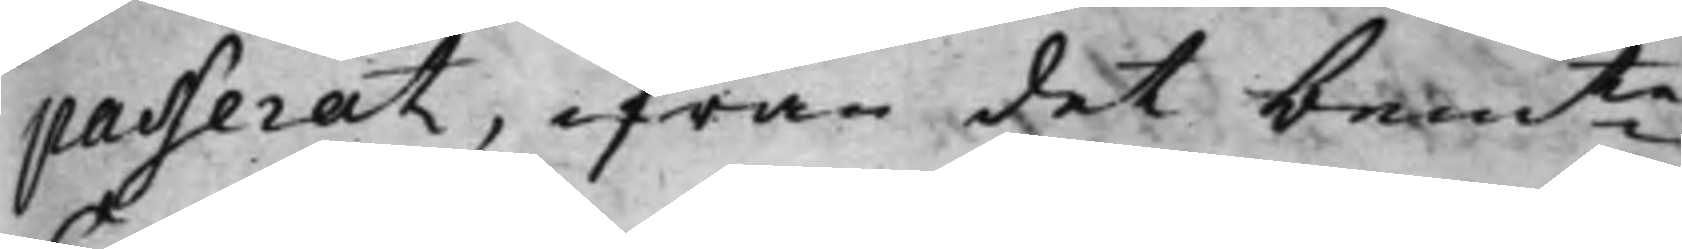passerat, ifrån det bemte
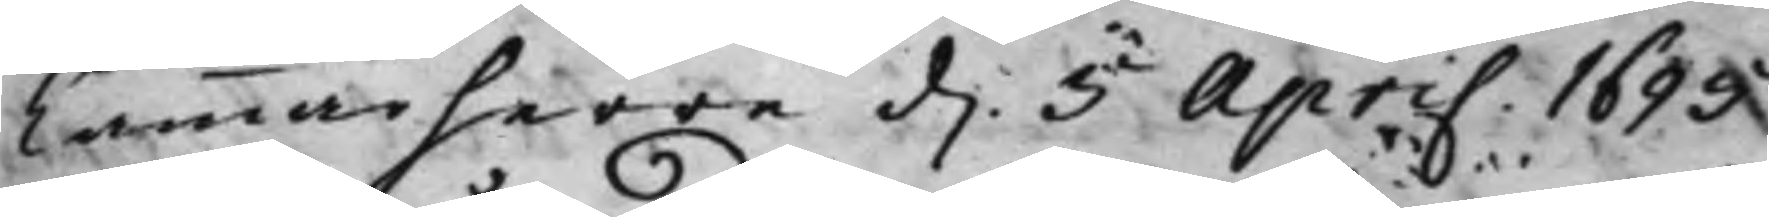Cammarherre d. 5 April 1695
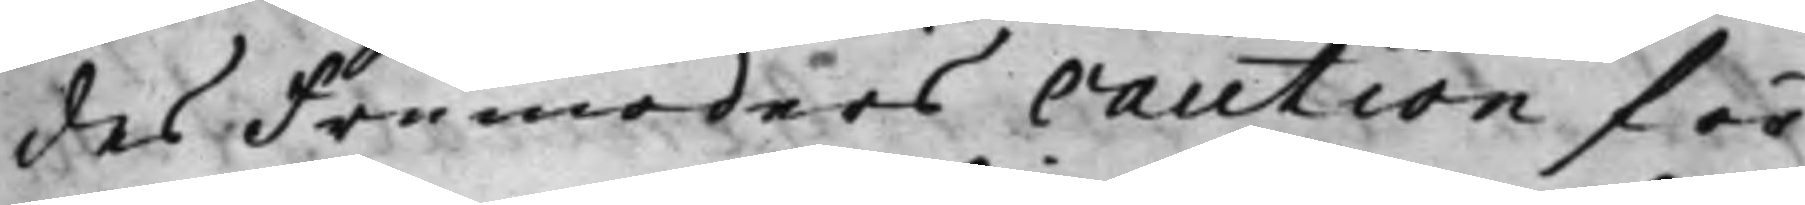des Fru moders caution för
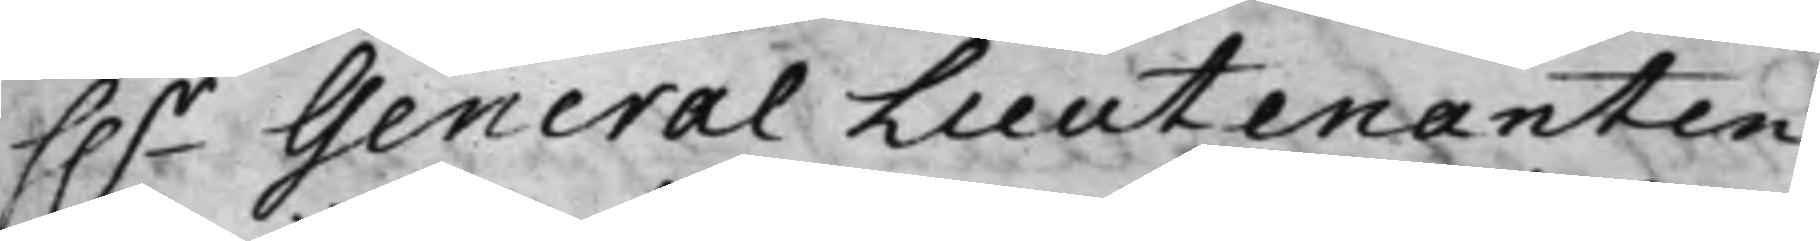h.r General Lieutenanten
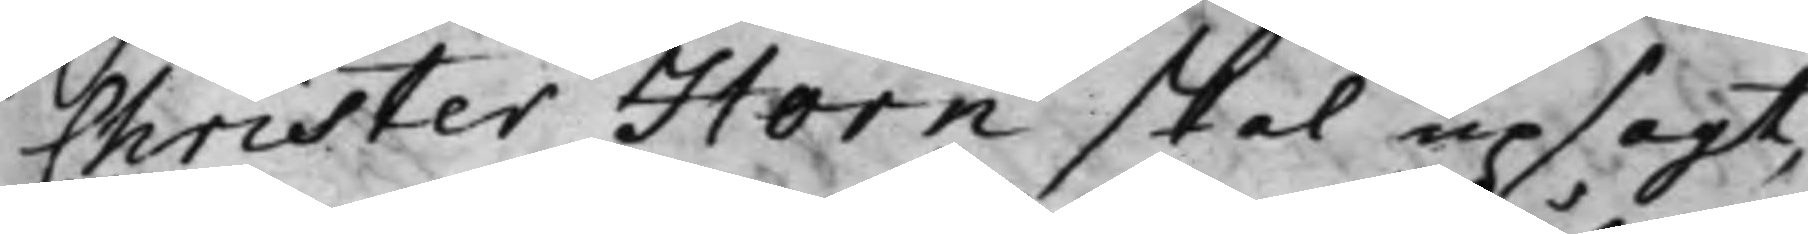Christer Horn skal upsagt,
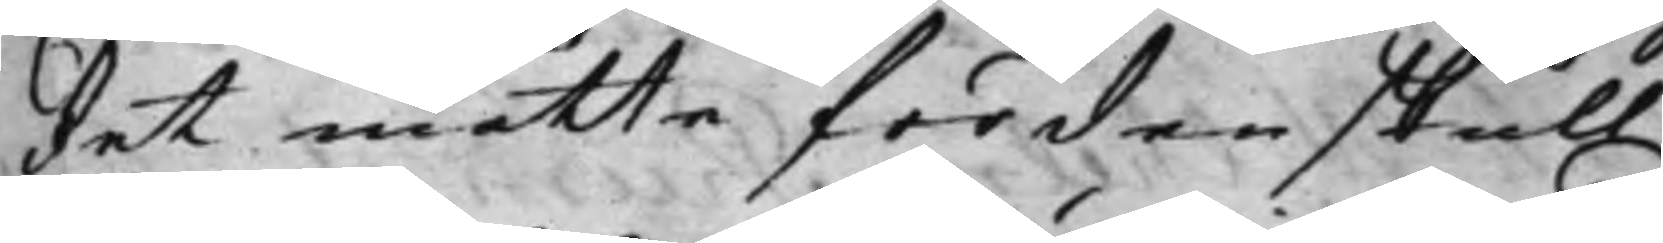det måtte fördenskull
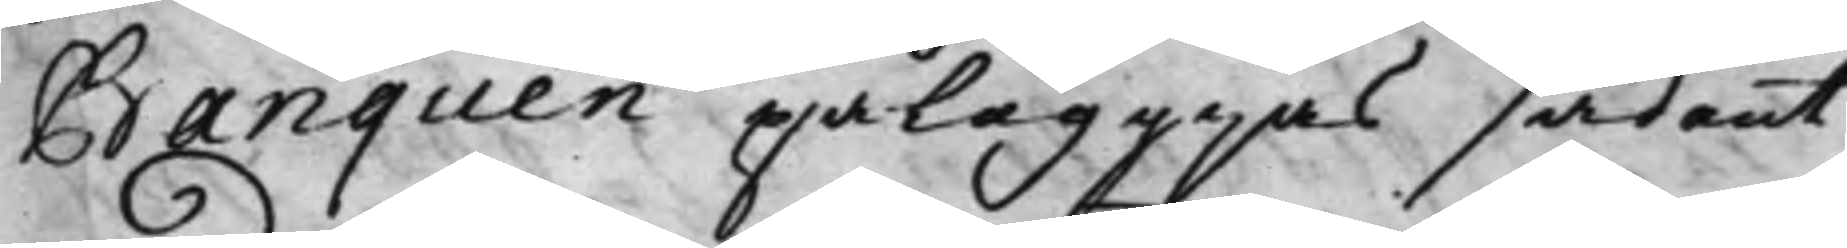Banquen påläggias sådant
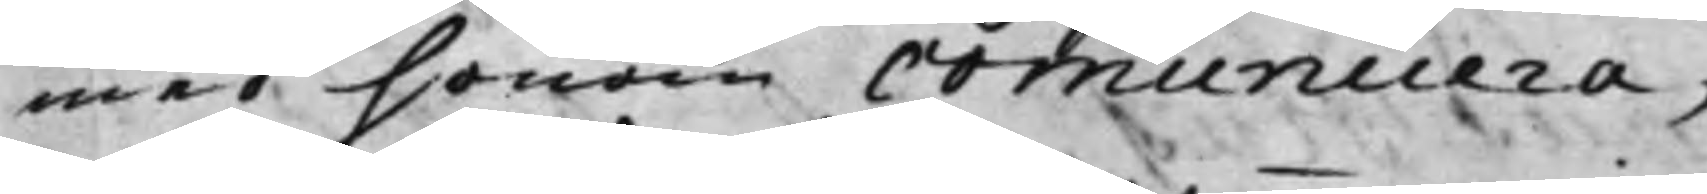med honom communicera;
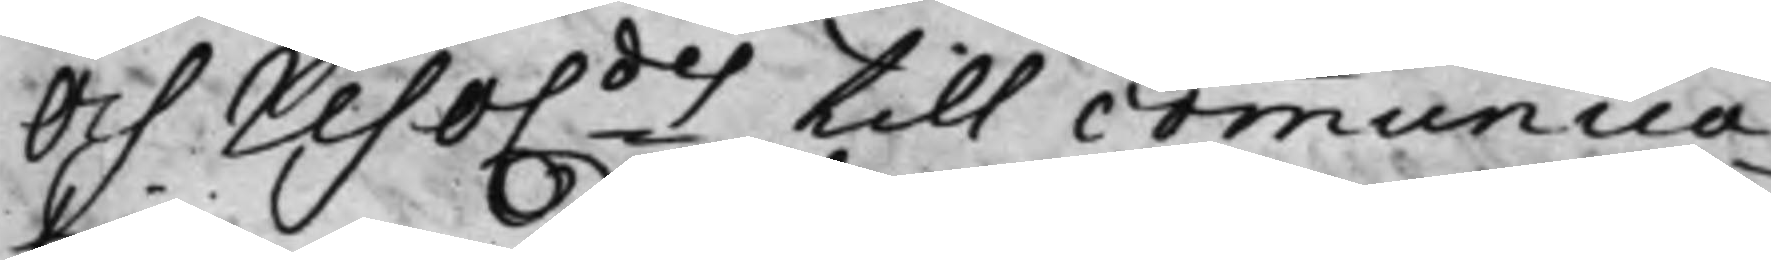Och reso.des till communica¬
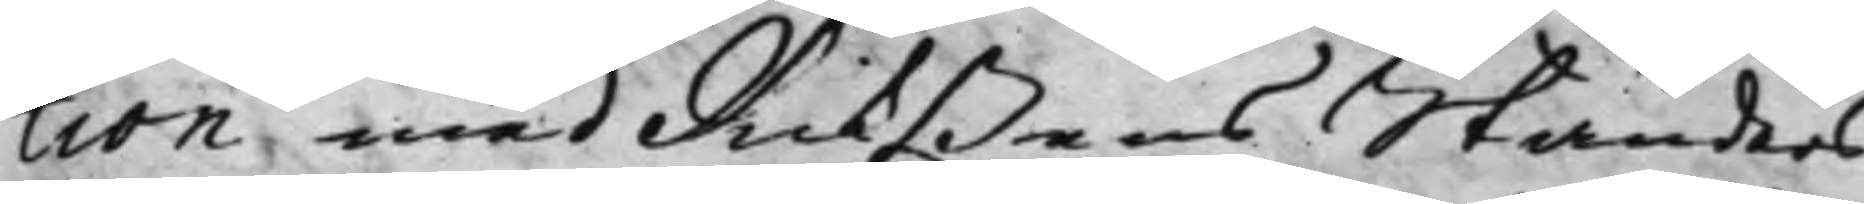tion med Rikßens Ständers
